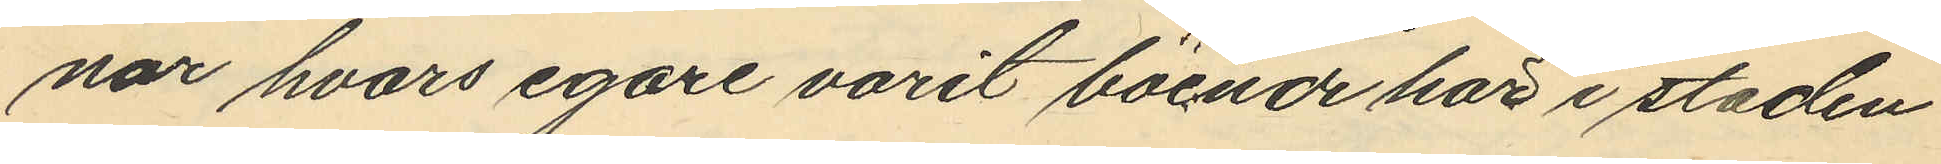nar hvars egare varit boende här i staden
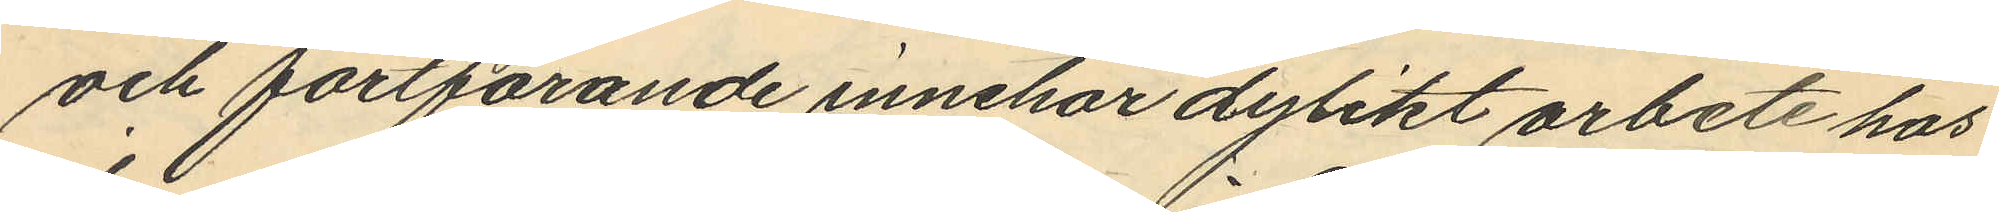och fortfarande innehar dylikt arbete hos
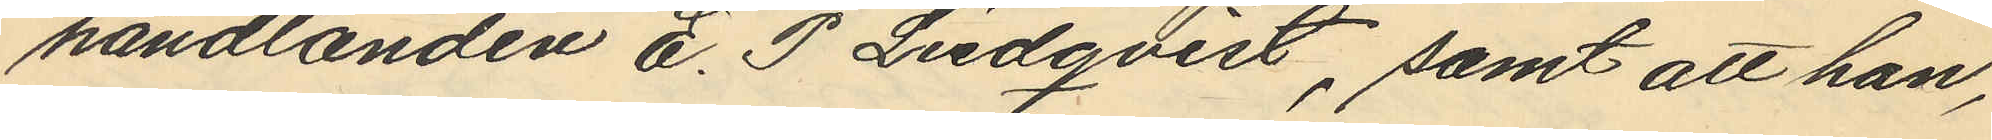handlanden E. P. Liedqvist, samt att han,
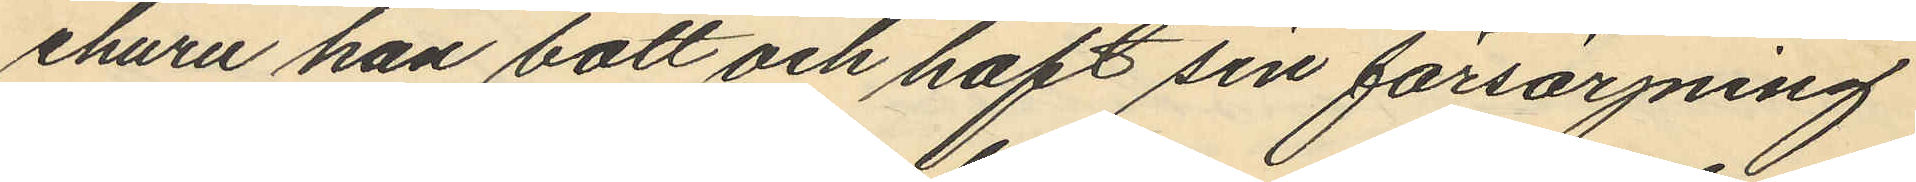ehuru han bott och haft sin försörjning
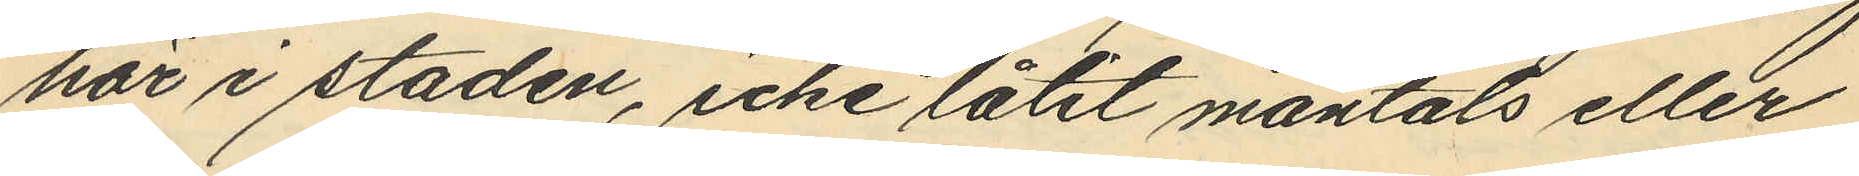här i staden, icke låtit mantals eller
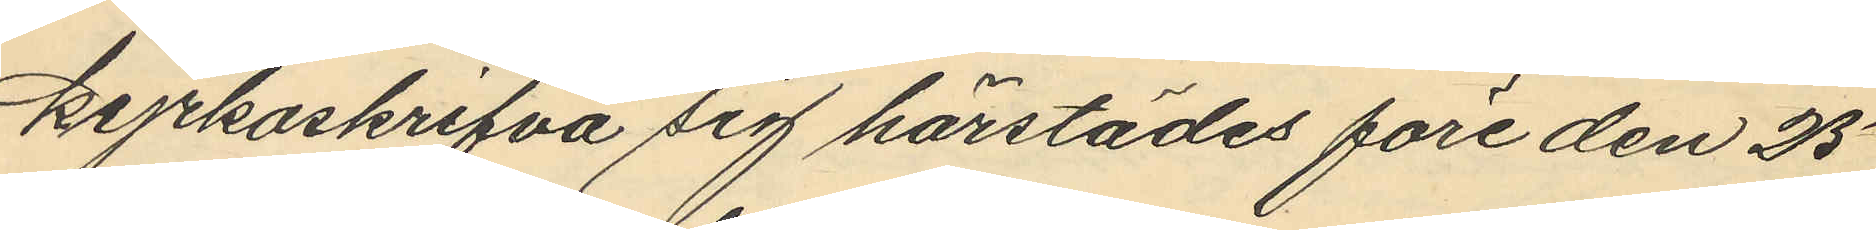kyrkoskrifva sig härstädes före den 25
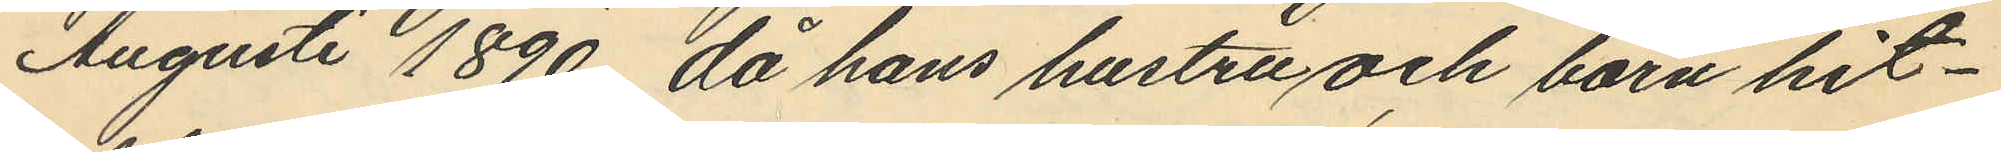Augusti 1890, då hans hustru och barn hit¬
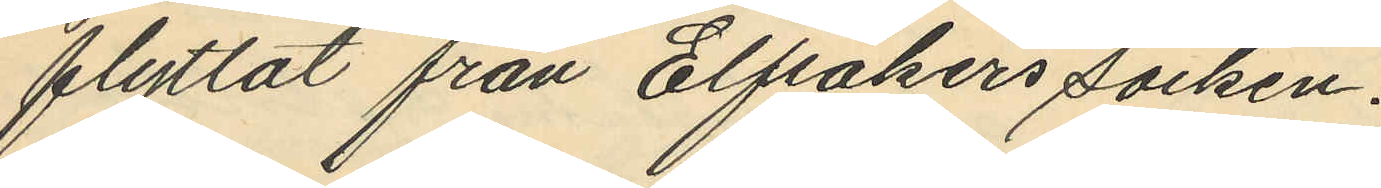flyttat från Elfsåkers socken.
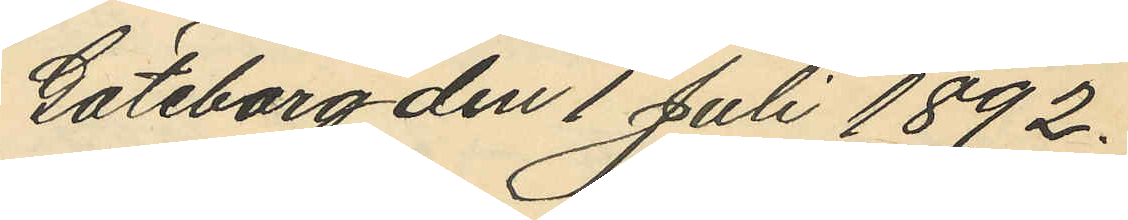Göteborg den 1 Juli 1892.
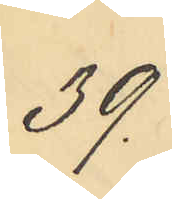39.
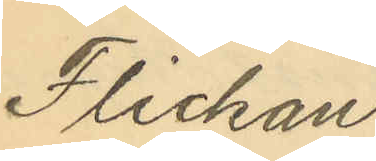Flickan
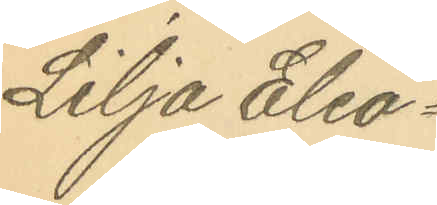Lilja Eleo¬
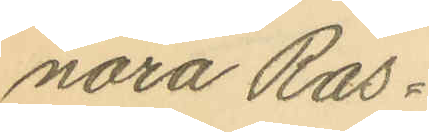nora Ras¬
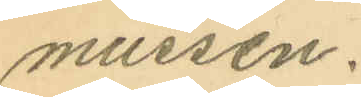mussen.
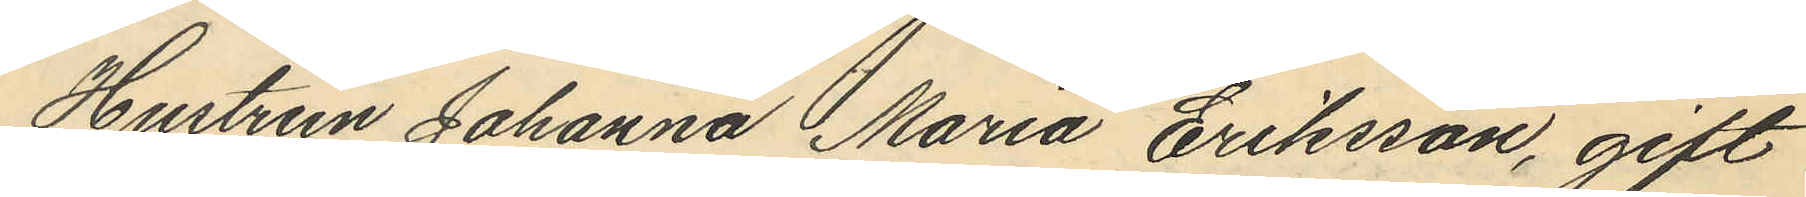Hustrun Johanna Maria Eriksson, gift
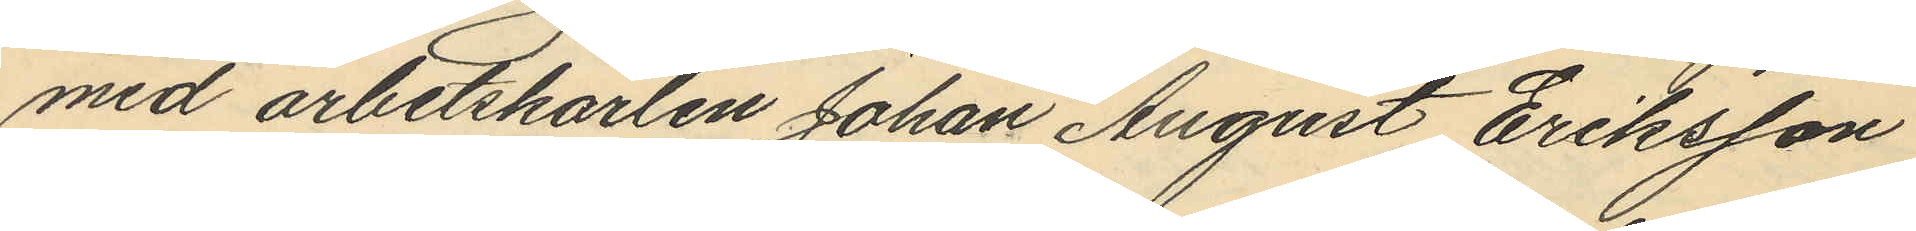med arbetskarlen Johan August Eriksson
